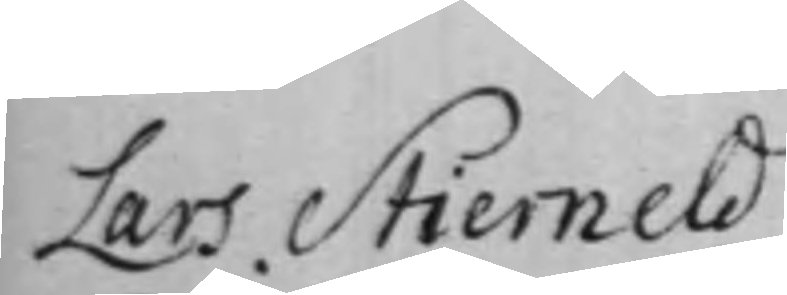Lars Stierneld
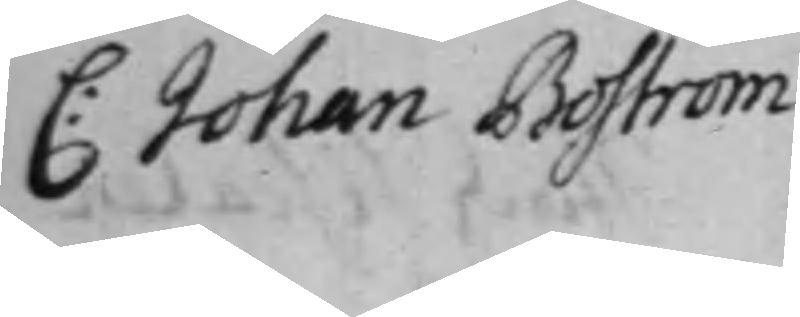C: Johan Boström
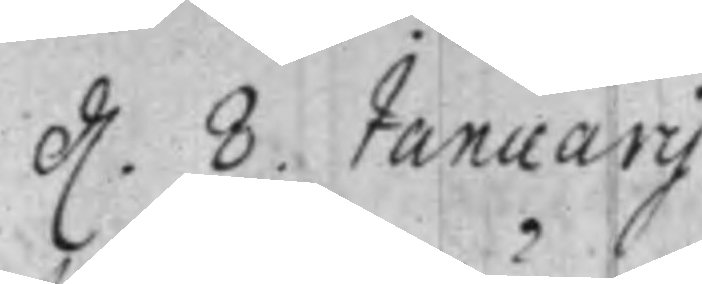d. 8. Januarij.
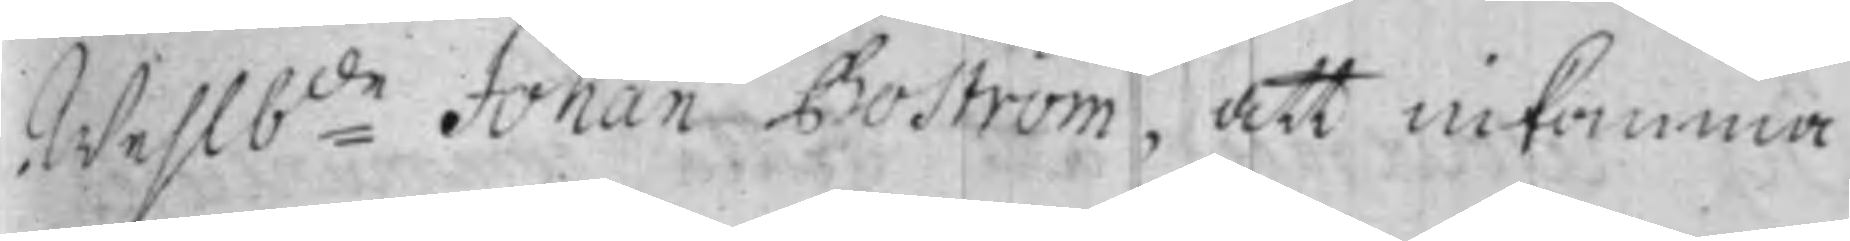Wehlb:de Johan Boström, att inkomma
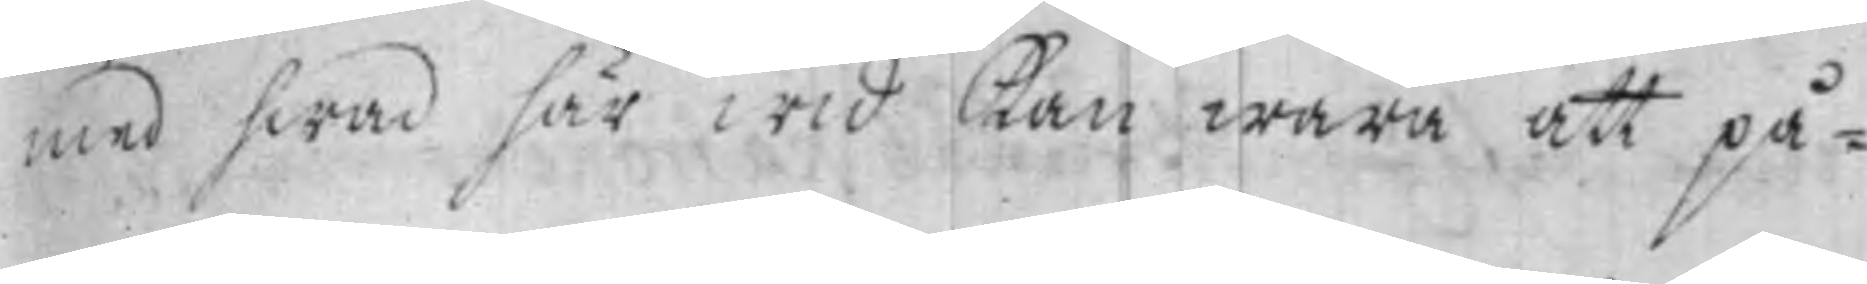med hwad här wid kan wara att på¬
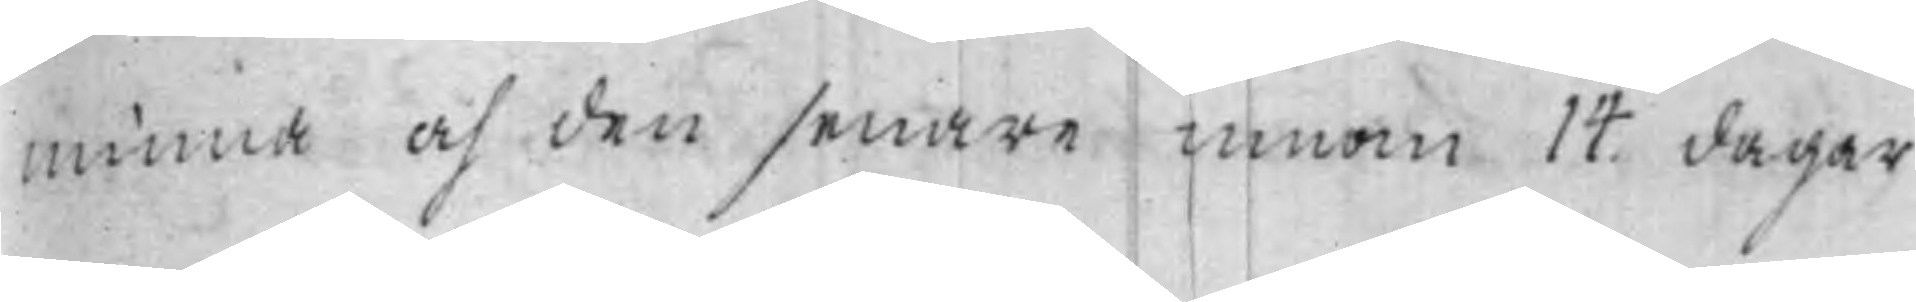minna och den senare innan 14 dagar
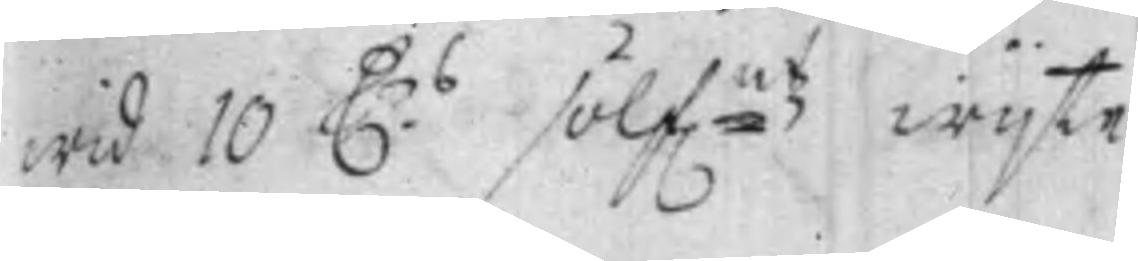wid 19 D:rs Sölf:mtz wijte
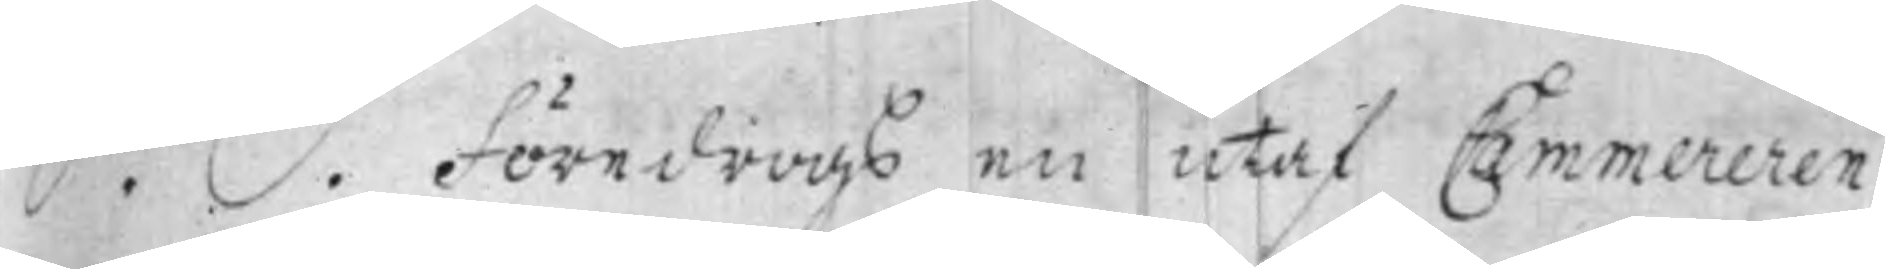S. D. Föredrogs en utaf Cammereren
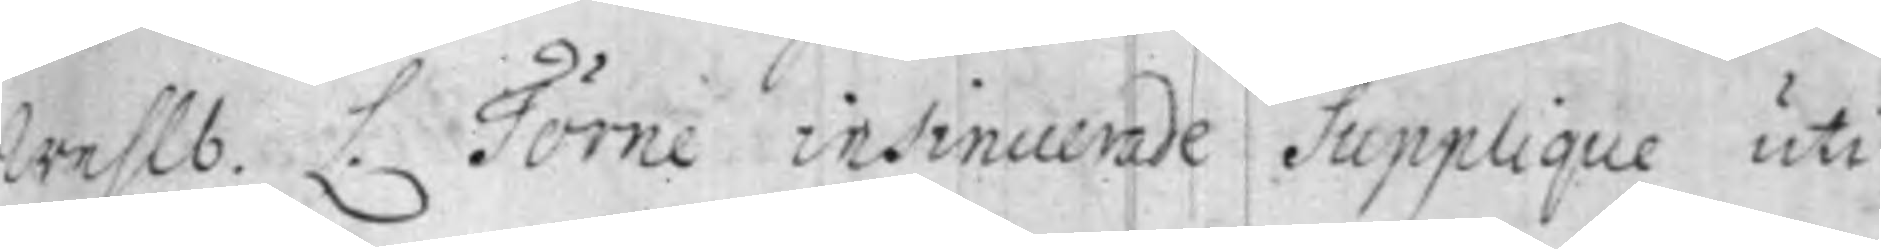Wehlb. L. Törne insinuerade Supplique uti
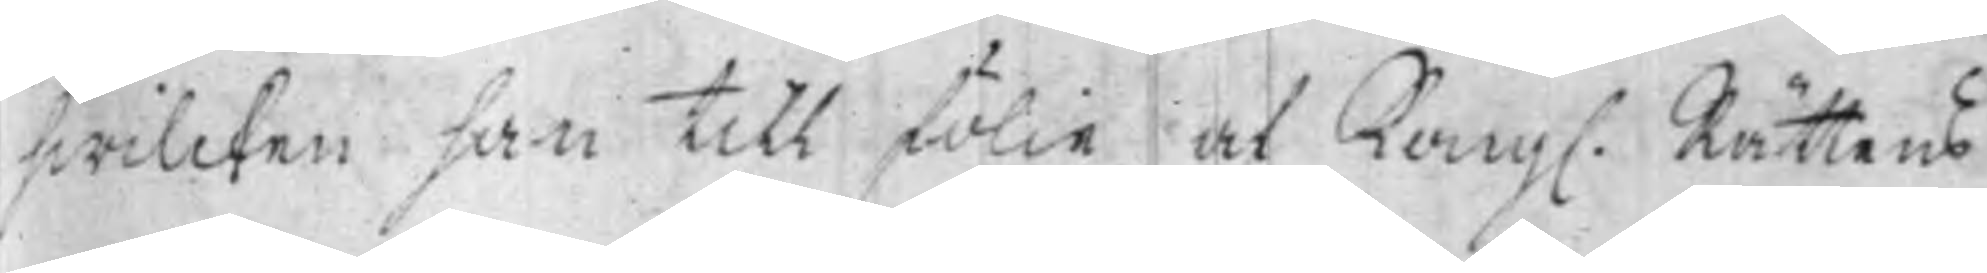hwilcken han till fölie af Kong. Rättens
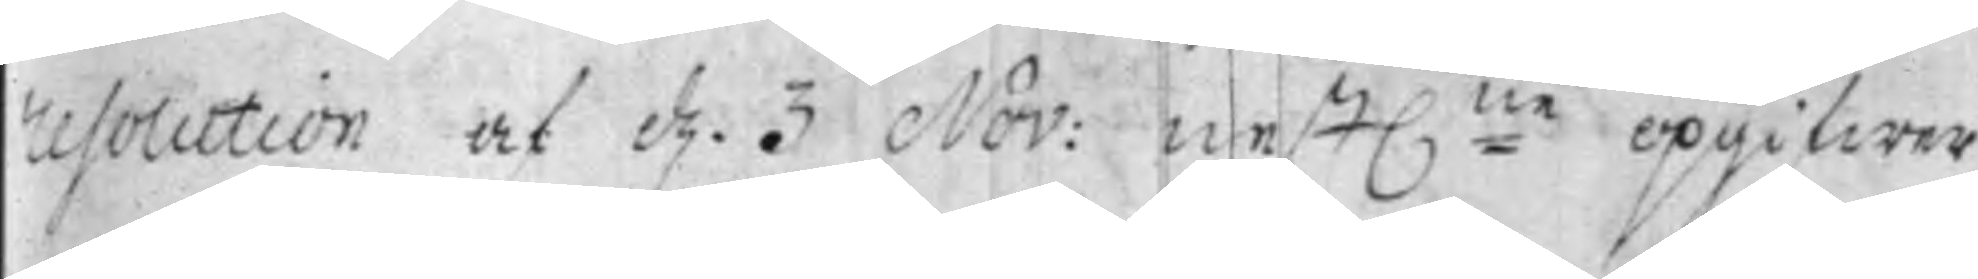resolution af d. 3 Nov: nest:ne opgifwer
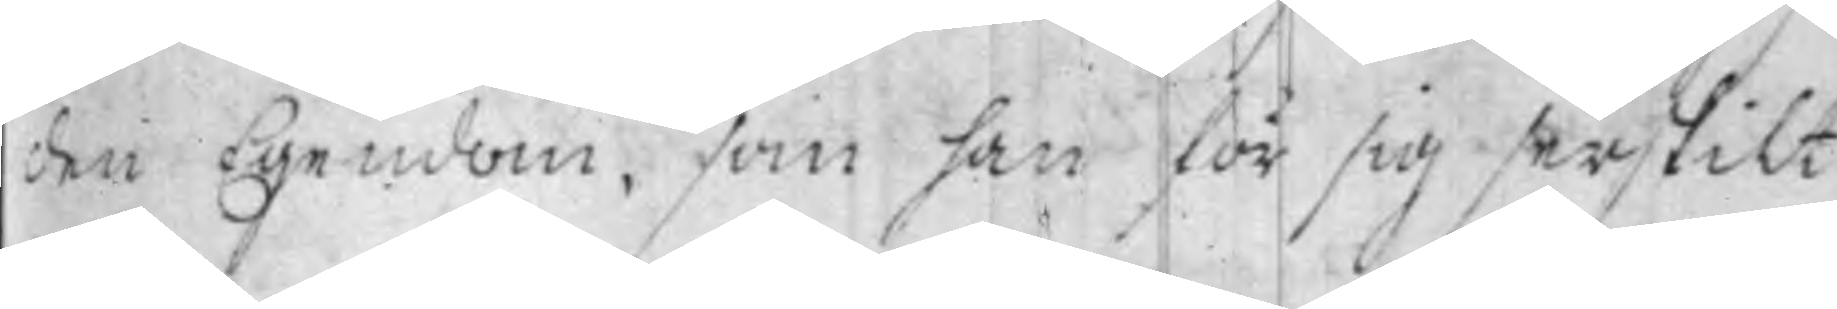den Egendom, som han för sig serskilt
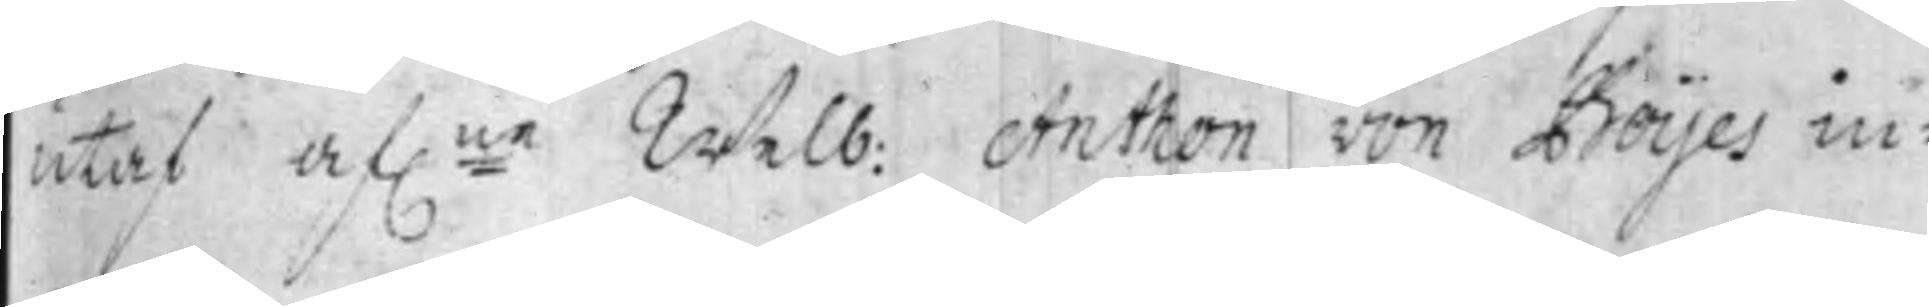utaf af:ne Welb: Anthon von Boyes in¬
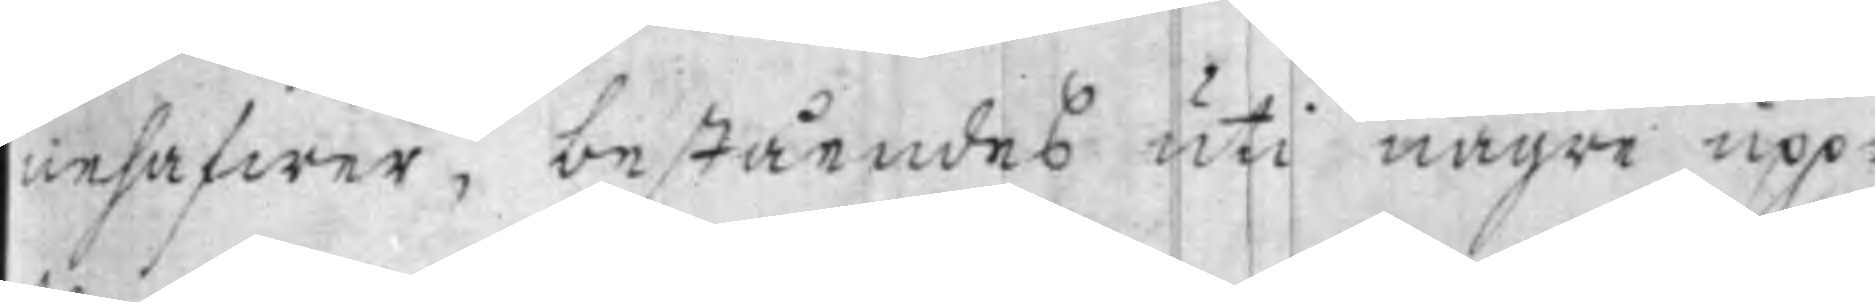nehafwer, beståendes uti någre upp¬
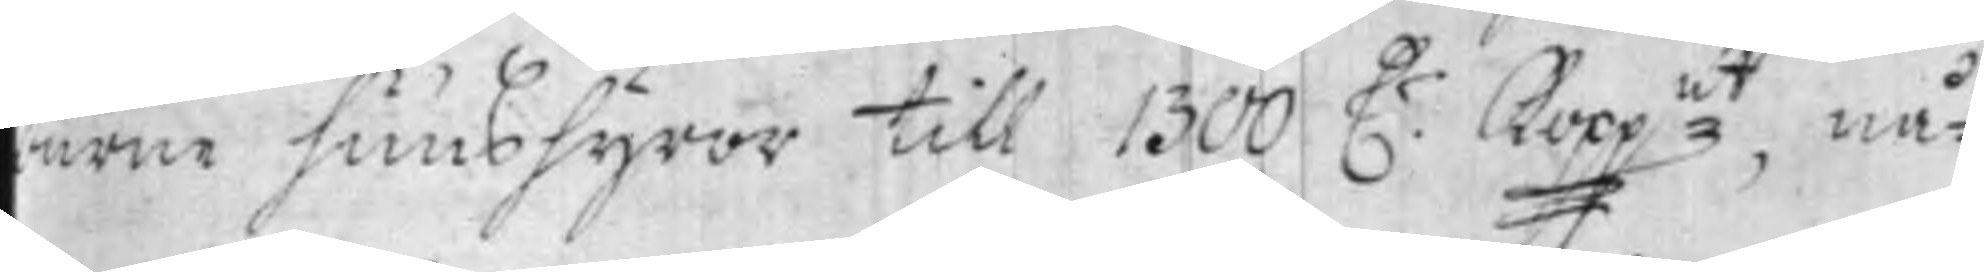burne huushyror till 1300 D.r Kopp:mt, nå¬
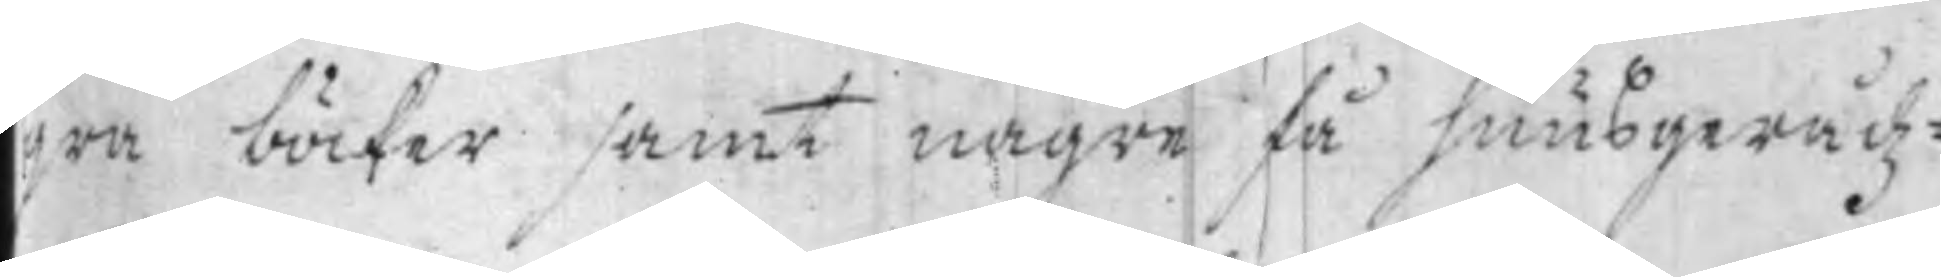gra böcker samt någre få huusgerådz¬
